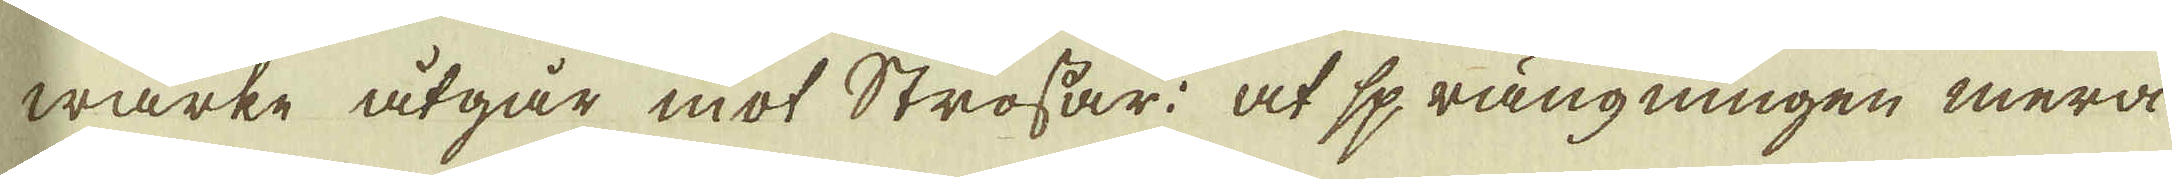wärke åtgår mot Strossar: at sprängningen mera
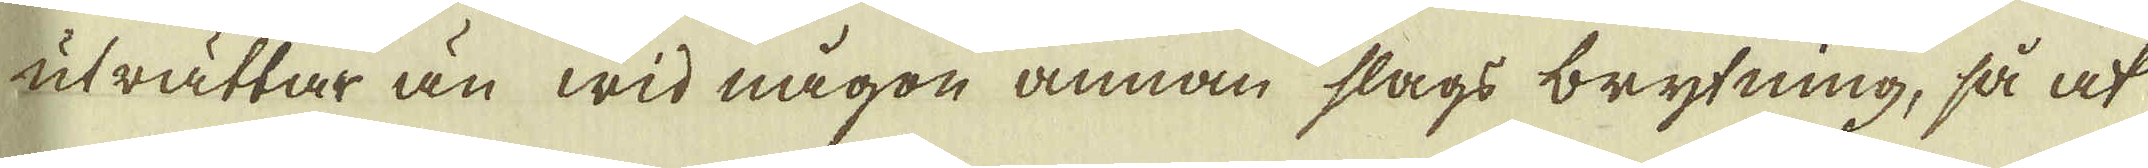uträttar än wid någon annan slags brytning, så at
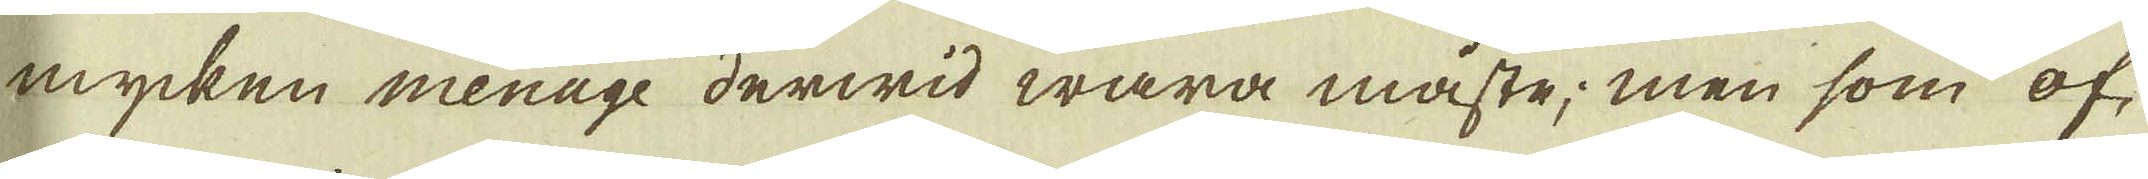mycken menage derwid wara måste; men som of-
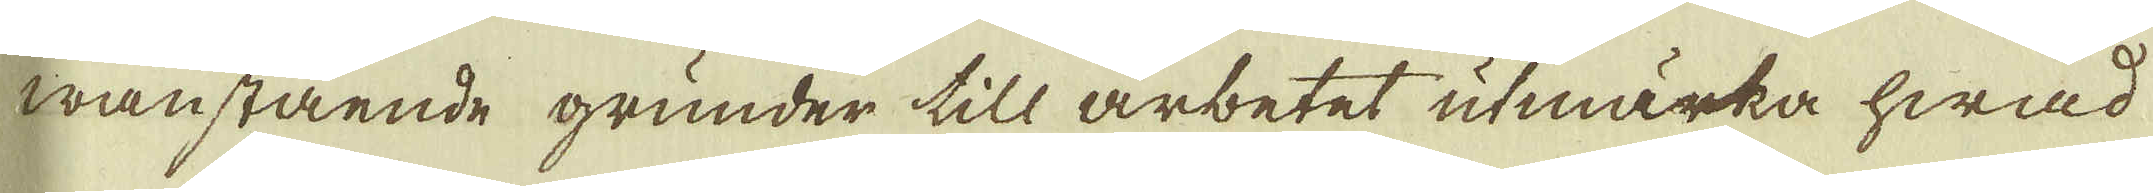wanstående grunder till arbetet utmärka hwad
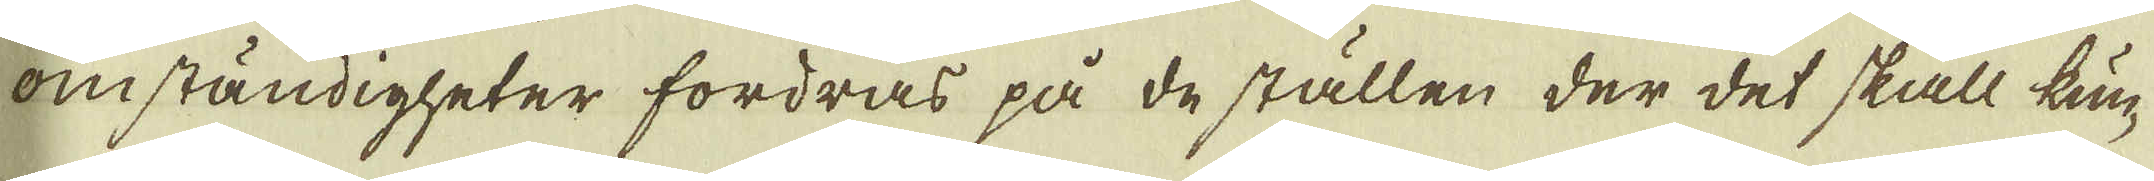omständigheter fordras på de ställen der det skall kun-
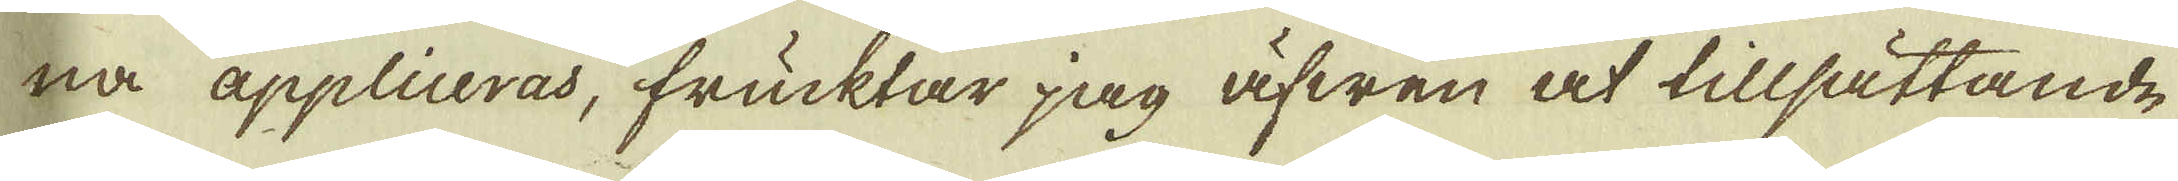na appliceras, frucktar jag äfwen at tillsättande
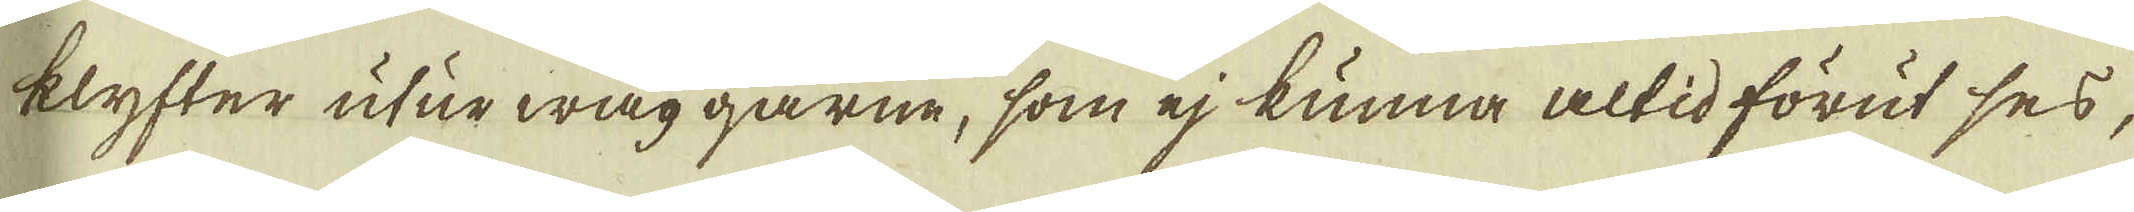klyfter utur wäggarne, som ej kunna altid förut ses,
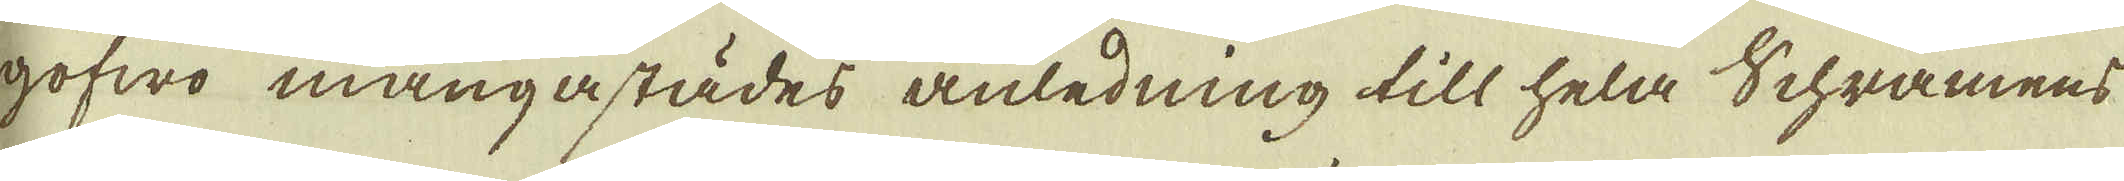gofwo mångastädes anledning till hela Schramens
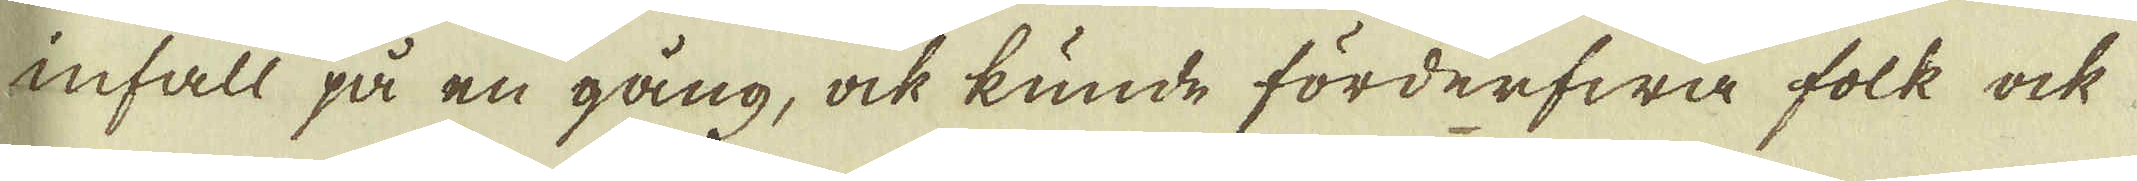infall på en gång, ock kunde förderfwa folk ock
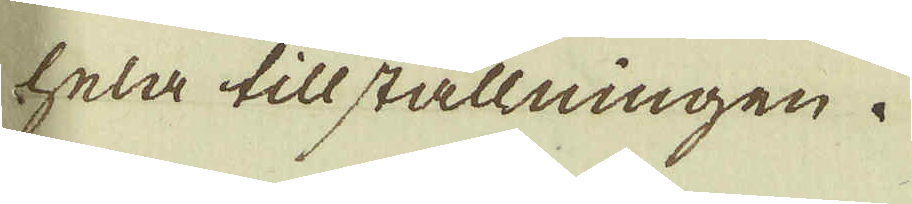hela tillställningen.
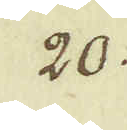20.
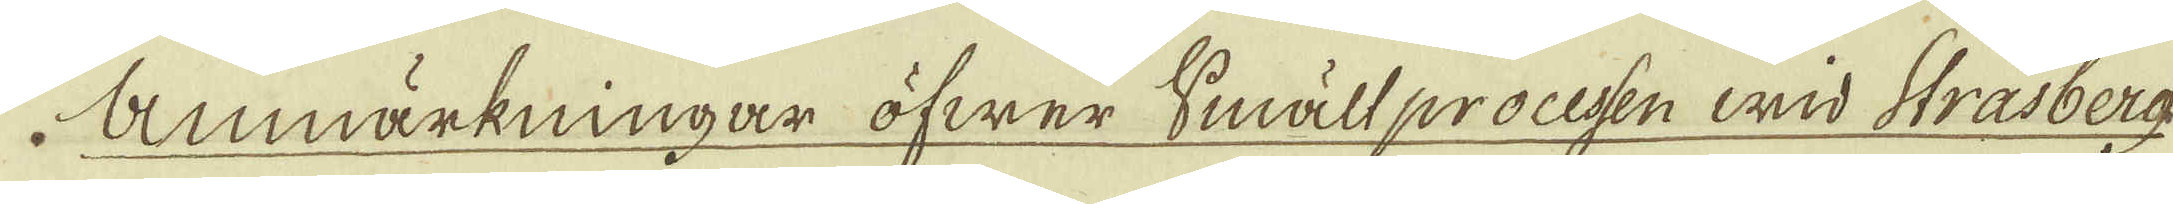Anmärkningar öfwer Smältprocesen wid Strasberg
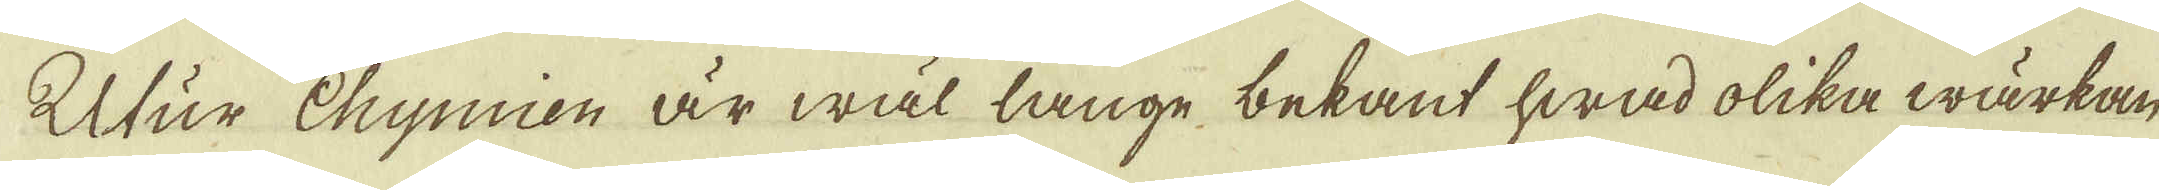Utur Chymien är wäl länge bekant hwad olika wärkan
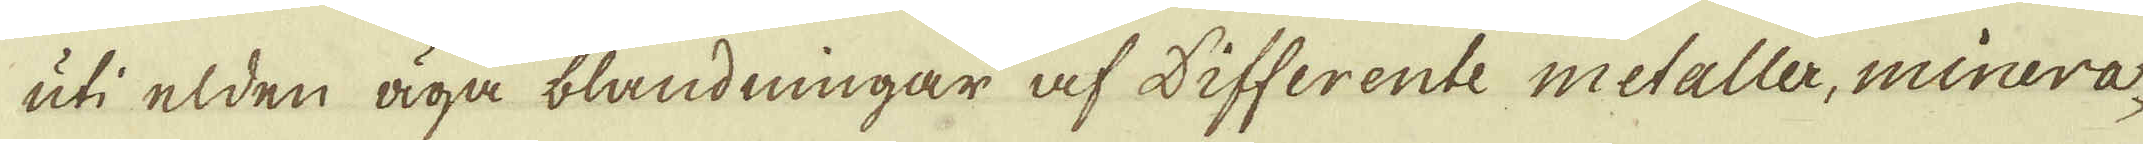uti elden äga blandningar af differente metaller, minera-
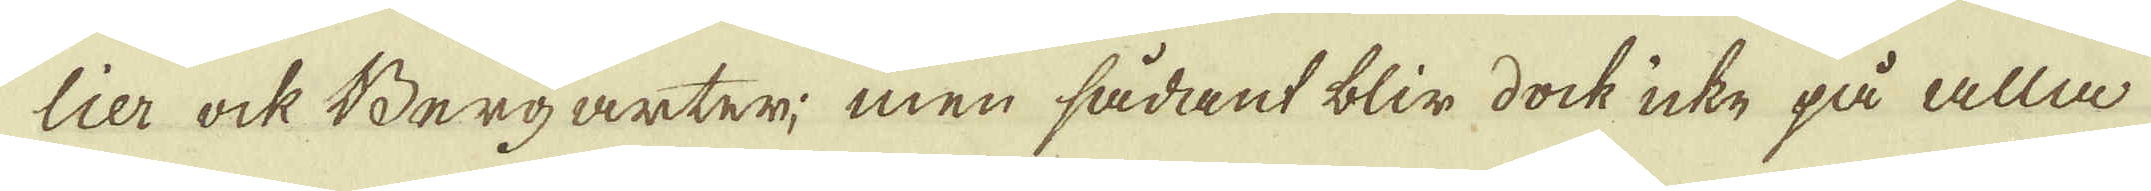lier ock Bergarter; men sådant blir dock icke på alla
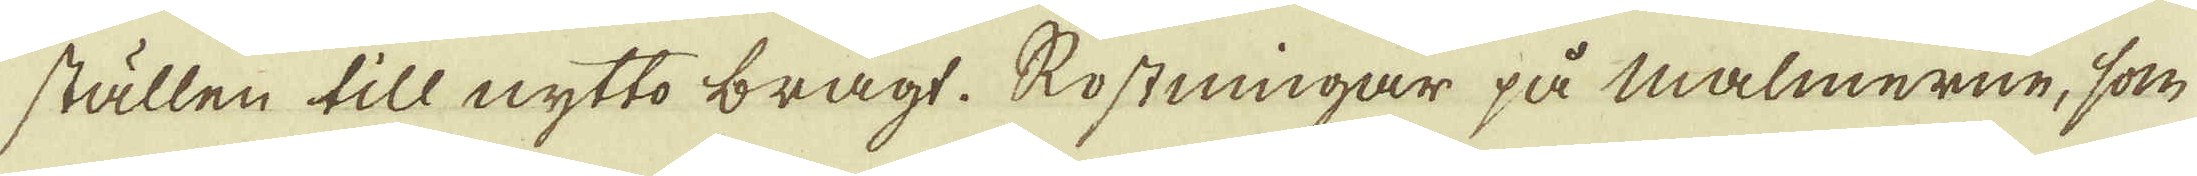ställen till nytto bragt. Rostningar på malmerne, som
